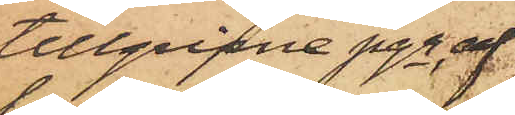tillgripne pgr, af
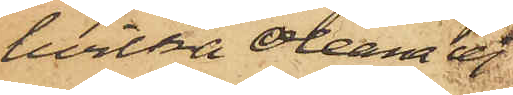hvilka Oleana ej
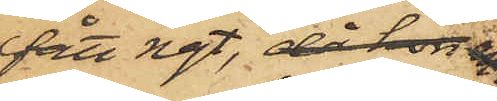fått ngt, då hon an¬
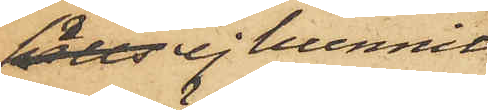hölls ej hunnit
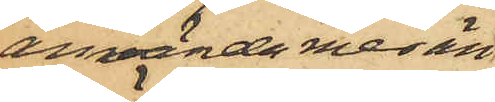använda mer än
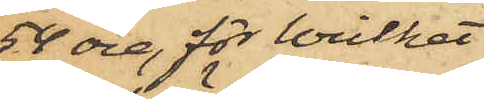54 öre, för hvilket
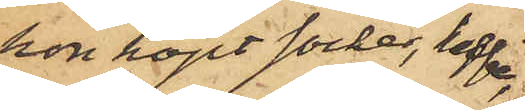hon köpt socker, kaffe,
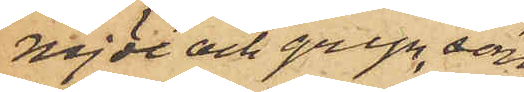mjöl och gryn, som
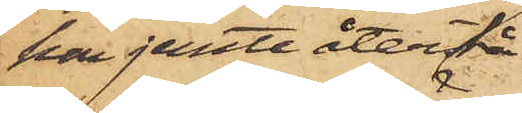hon jemte återstå¬
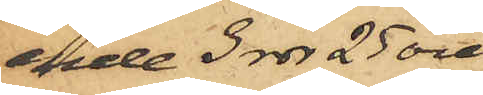ende 3 rdr 25 öre
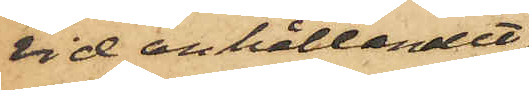vid anhållandet
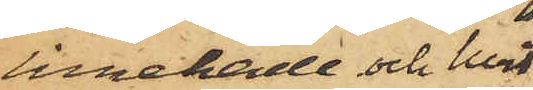innehade och hvil¬
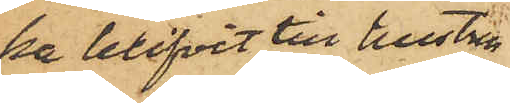ka blifvit till hustrun
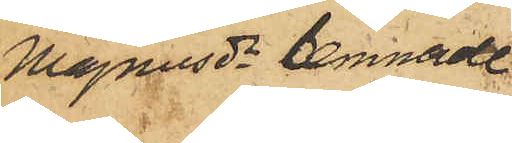Magnusdr lemnade
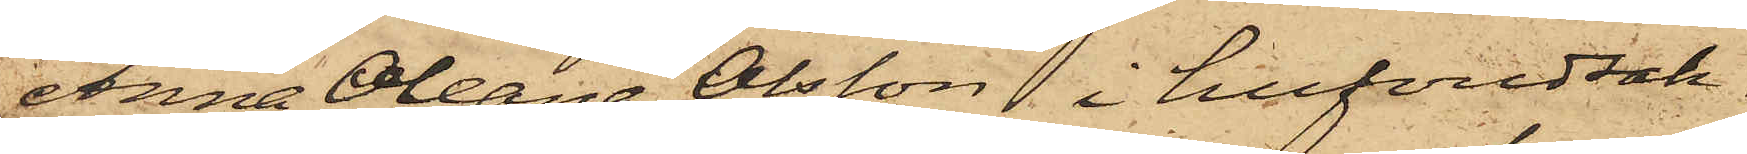Anna Oleana Olsson i hufvudsak¬
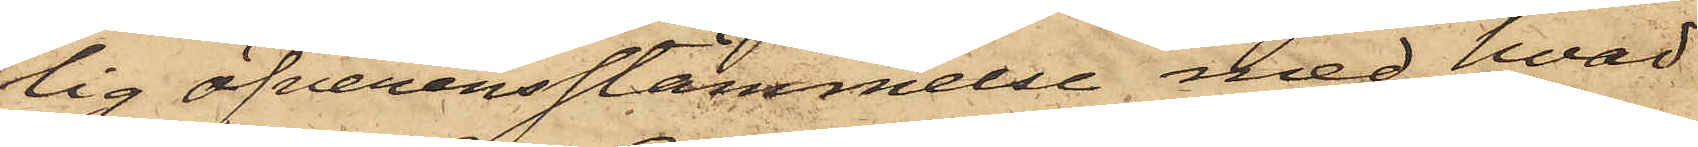lig öfverensstämmelse med hvad
